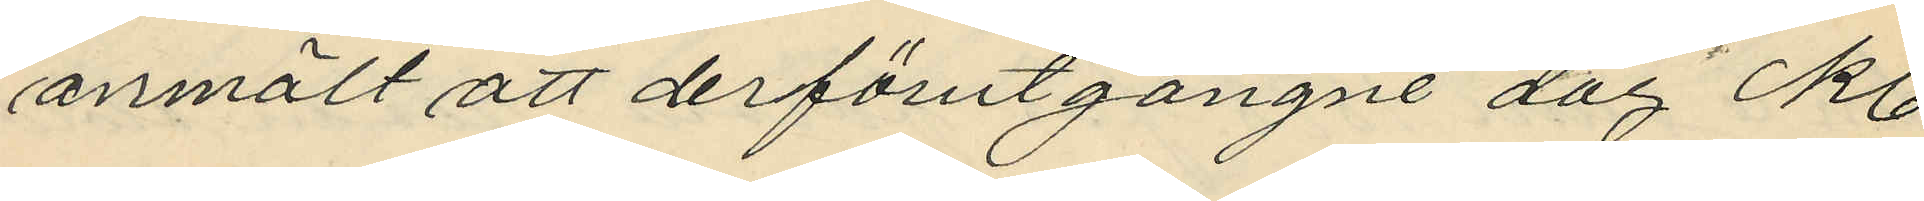anmält att derförutgångne dag kl
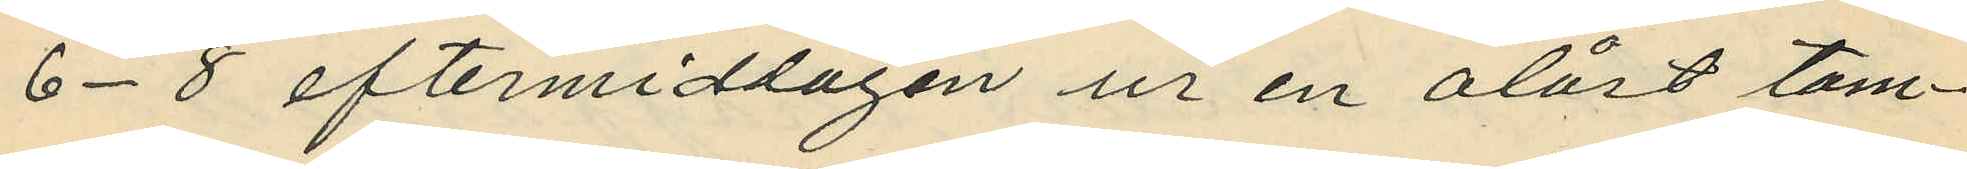6-8 eftermiddagen ur en olåst tam¬
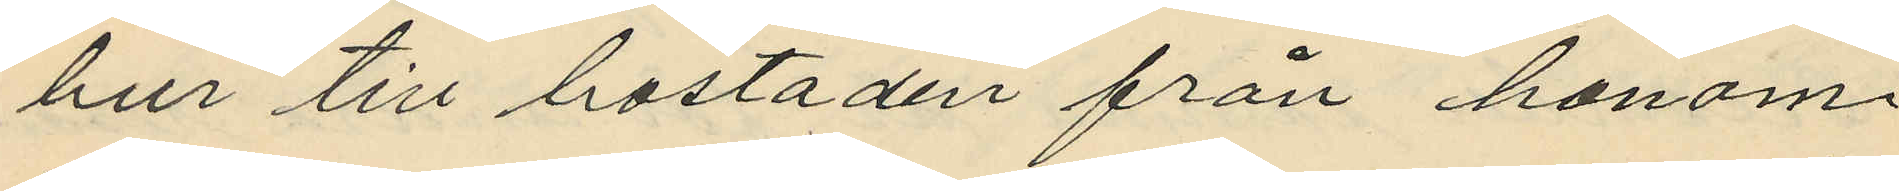bur till bostaden från honom
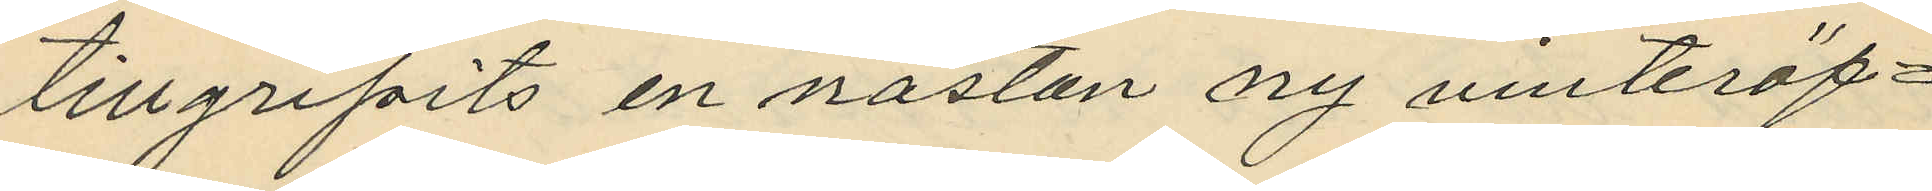tillgripits en nästan ny vinteröf¬
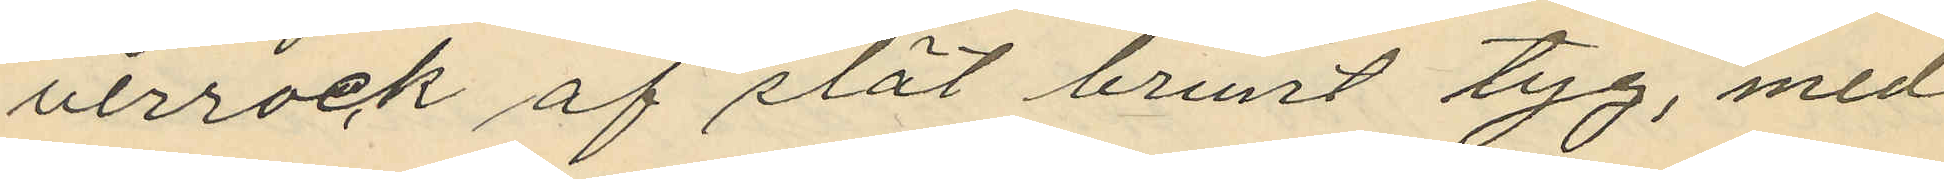verrock af slät brunt tyg, med
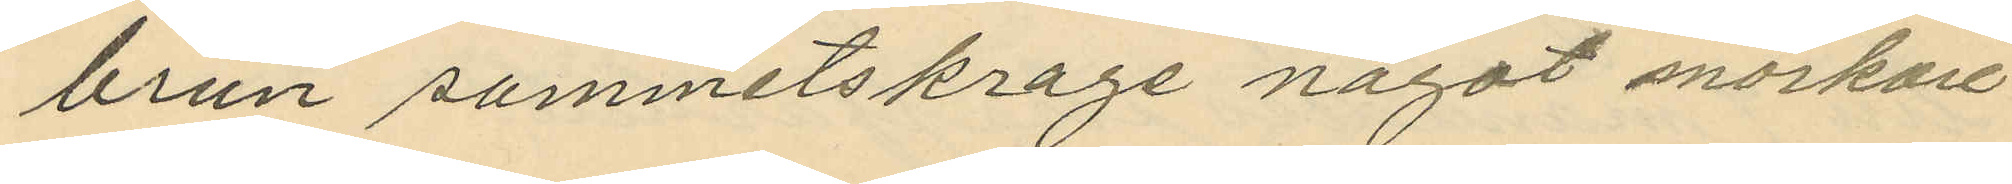brun sammetskrage något mörkare
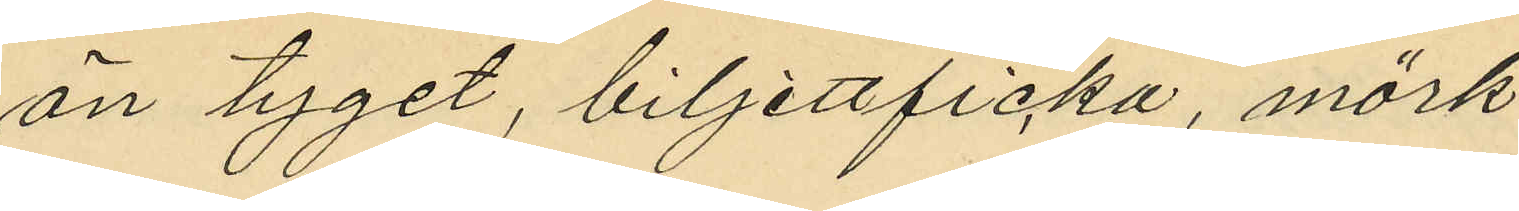än tyget, biljettficka, mörk
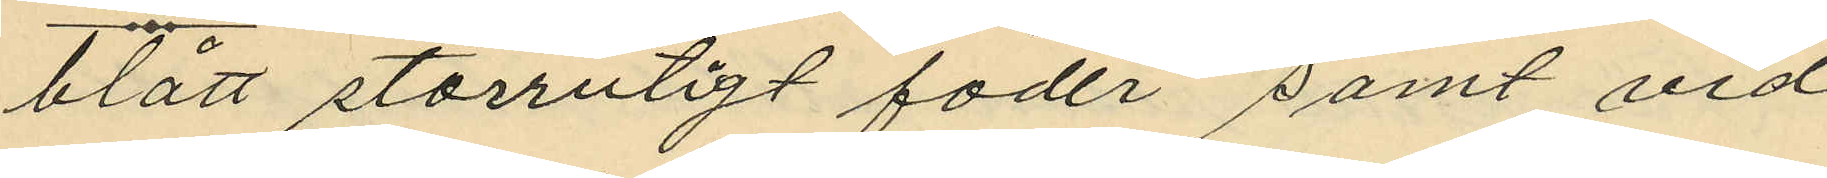blått storrutigt foder samt vid
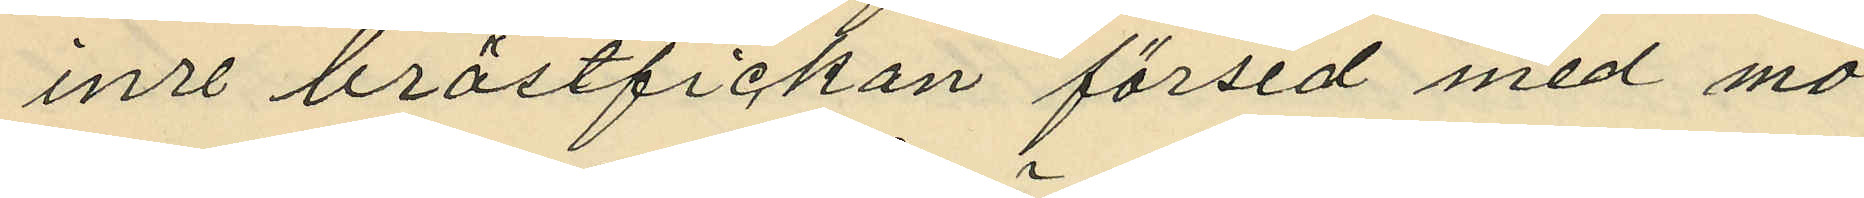inre bröstfickan försedd med mo¬
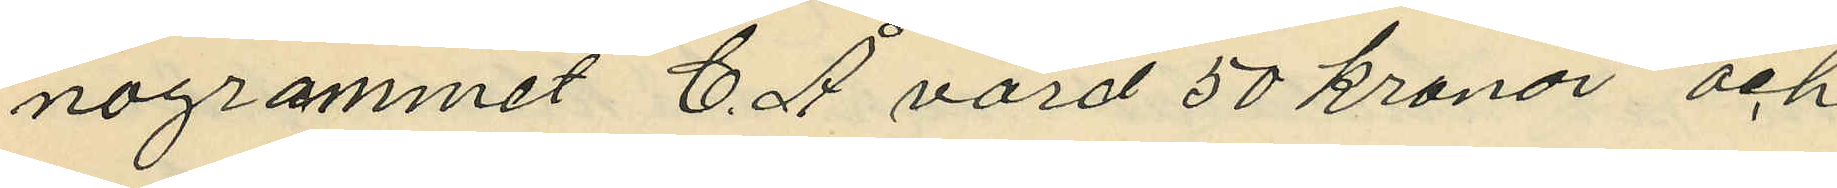nogrammet C. Å värd 50 kronor och
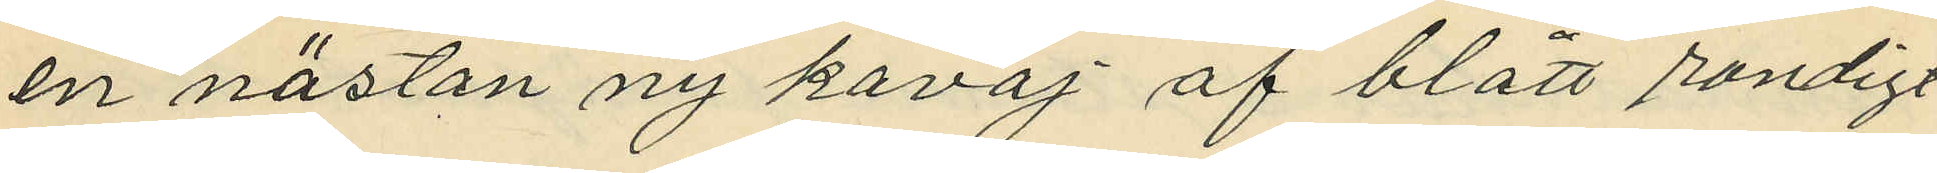en nästan ny kavaj af blått randigt
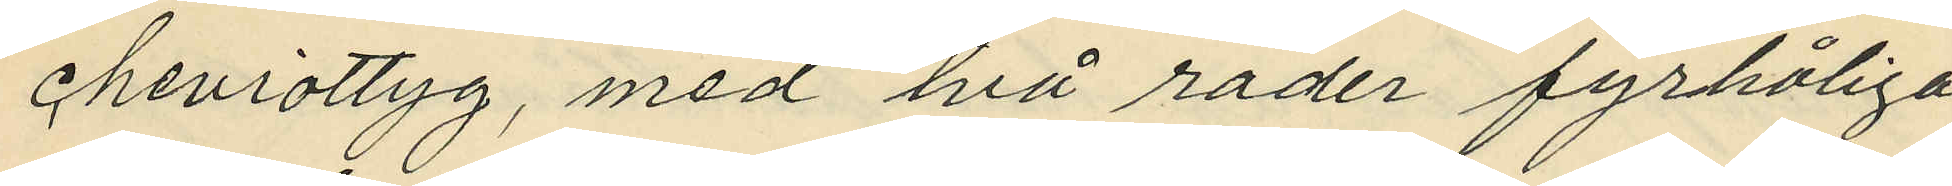cheviottyg, med två rader fyrhåliga
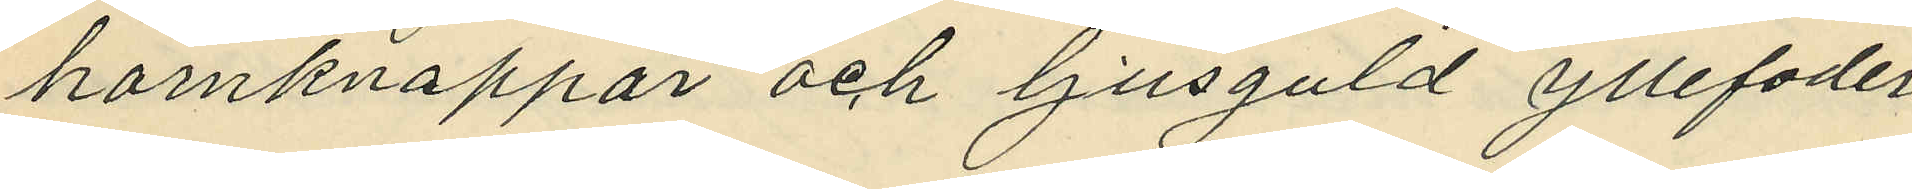hornknappar och ljusguld yllerfoder
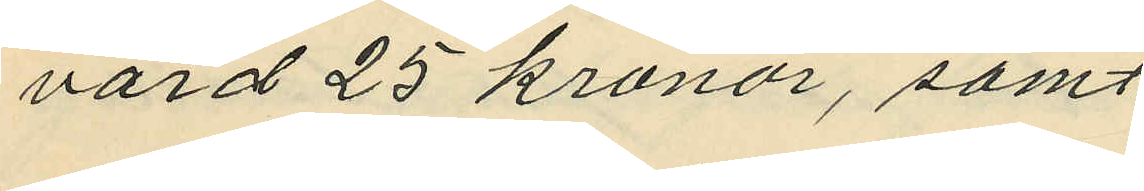värd 25 kronor, samt
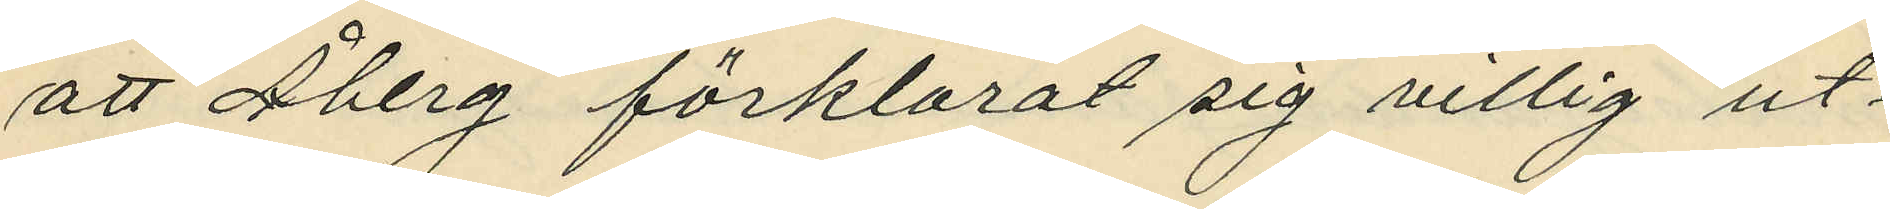att Åberg förklarat sig villit ut¬
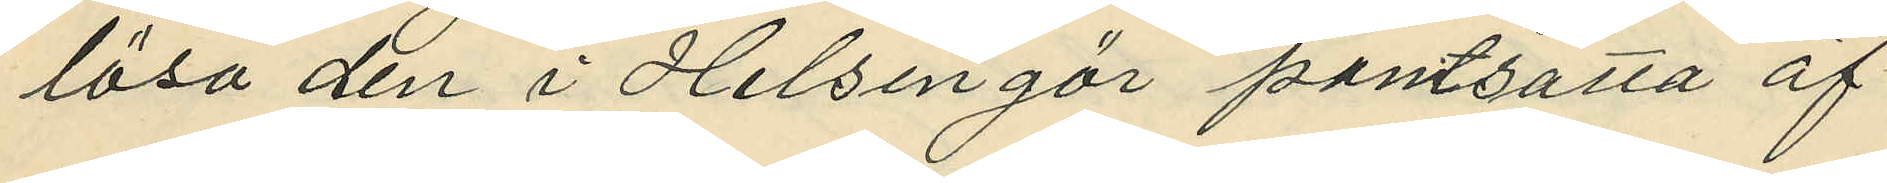lösa den i Helsingör pantsatta öf¬
